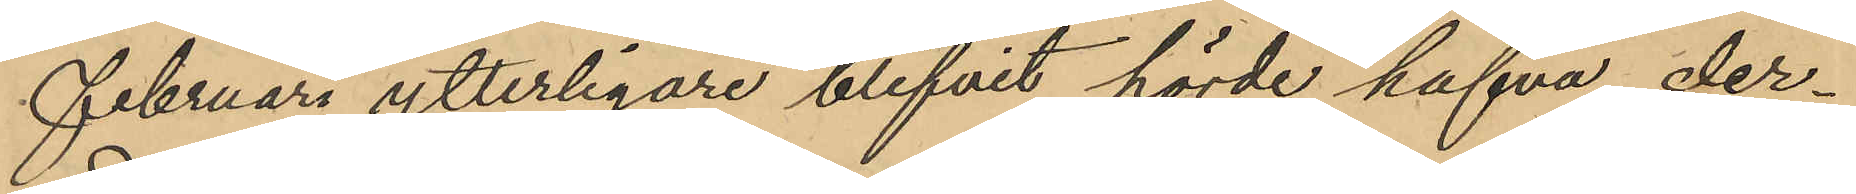Februari ytterligare blifvit hörde hafva der¬
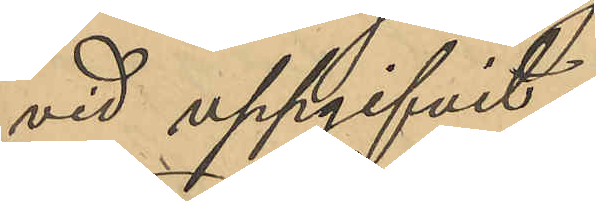vid uppgifvit:
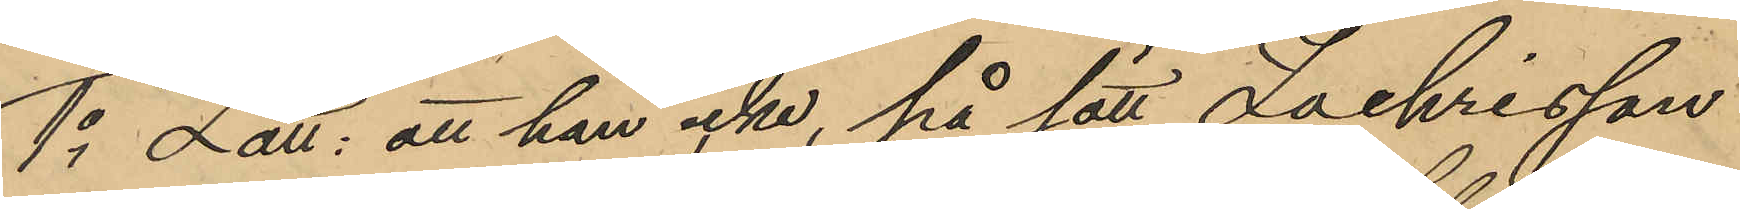1o Lätt: att han icke, på sätt Zachrisson
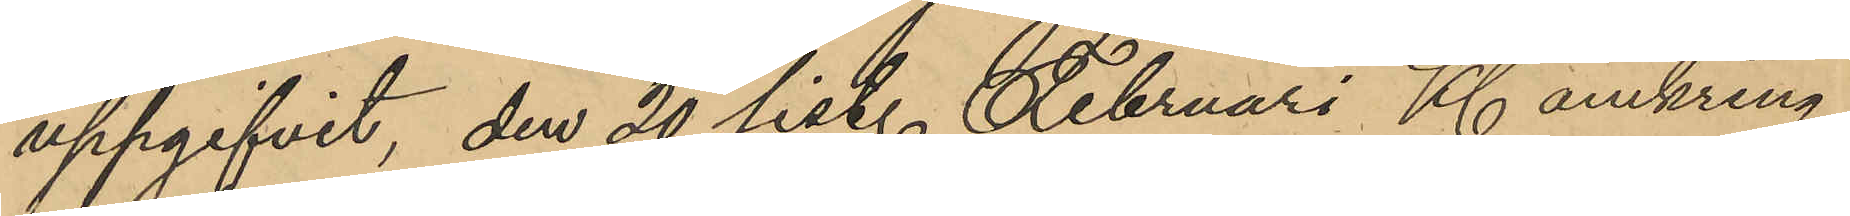uppgifvit, den 20 sist. Februari Kl. omkring
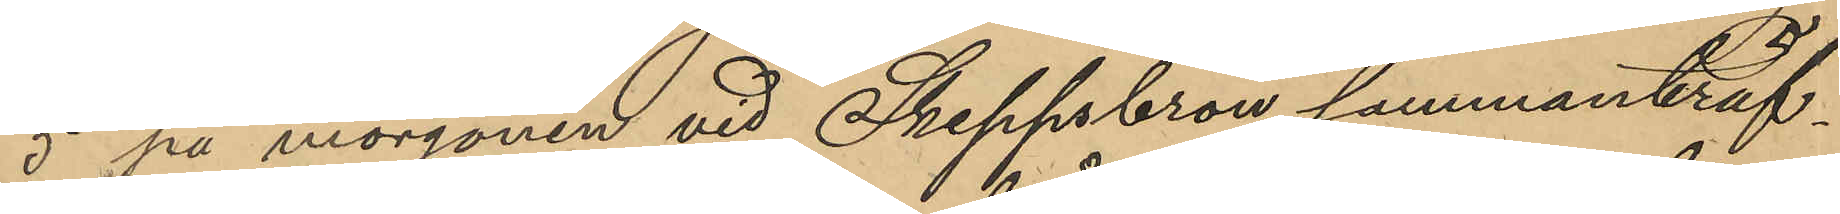5 på morgonen vid Skeppsbron sammanträf¬
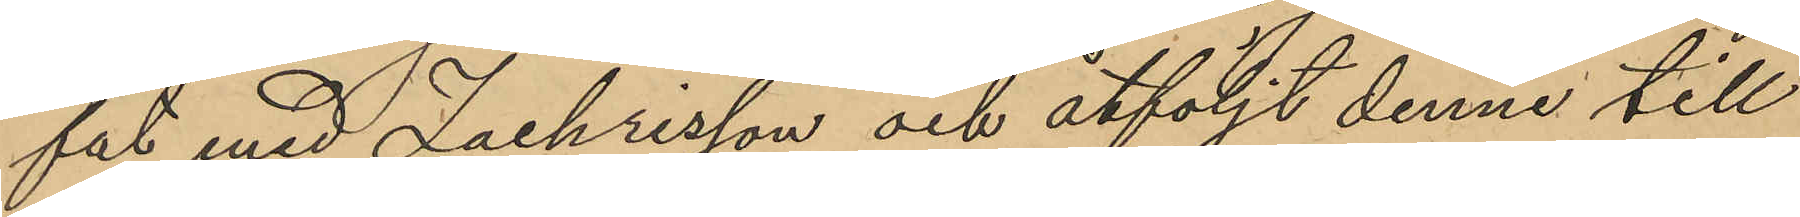fat med Zachrisson och åtföljt denne till
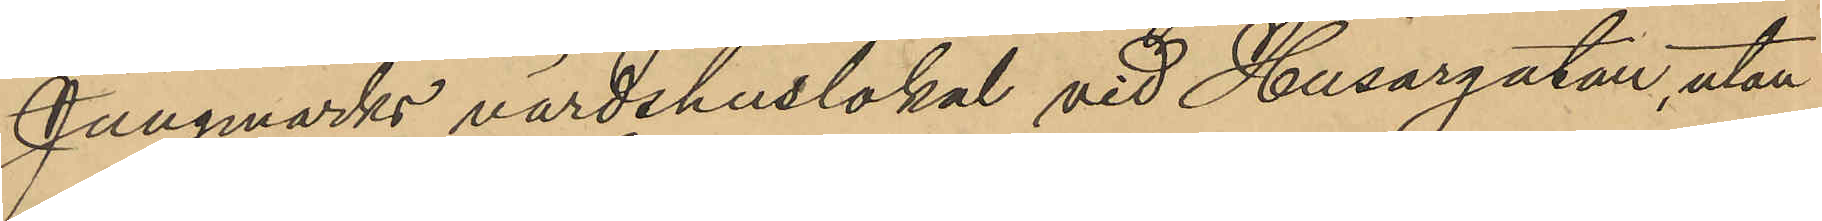Jungmarks värdshuslokal vid Husargatan, utan
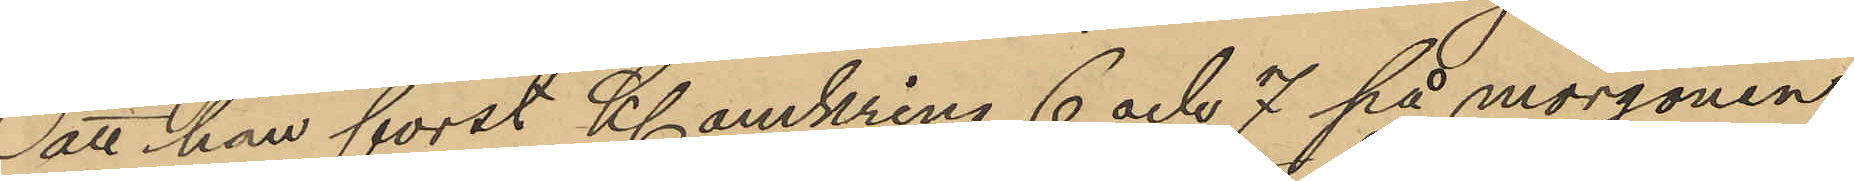att han forst Kl. omkring 6 och 7 på morgonen
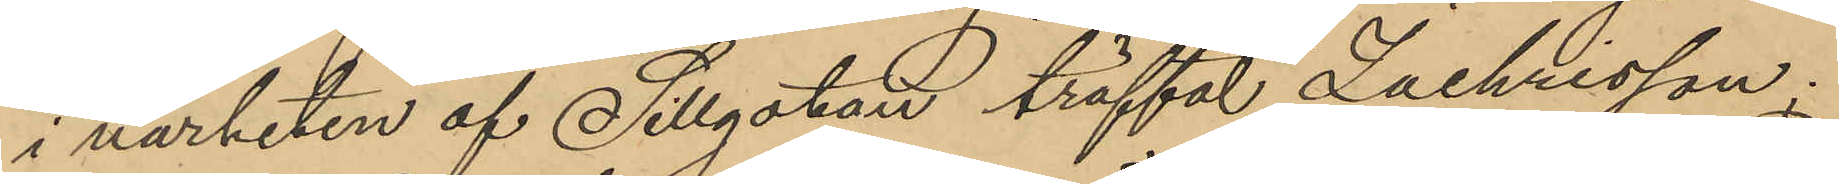i närheten af Sillgatan träffat Zachrisson:
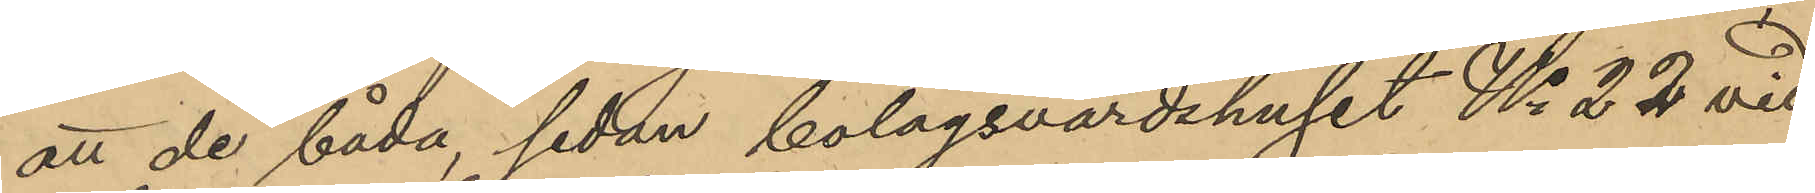att de båda sedan bolagsvärdshuset No 22 vid
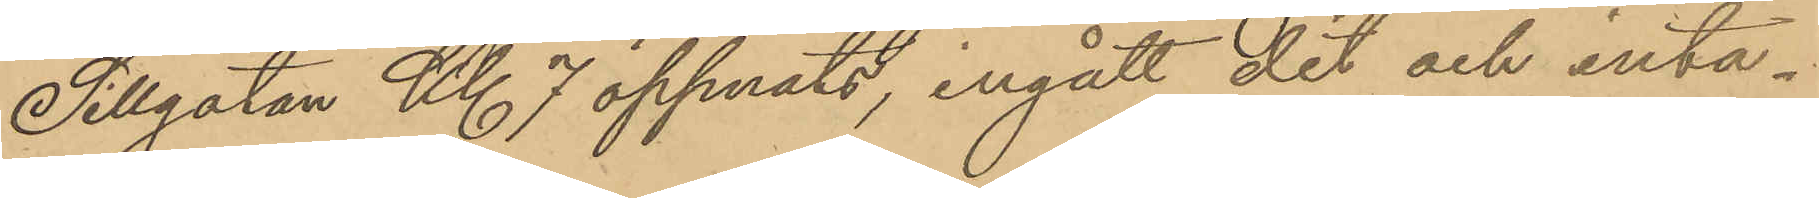Sillgatan Kl 7 öppnats, ingått dit och inta¬
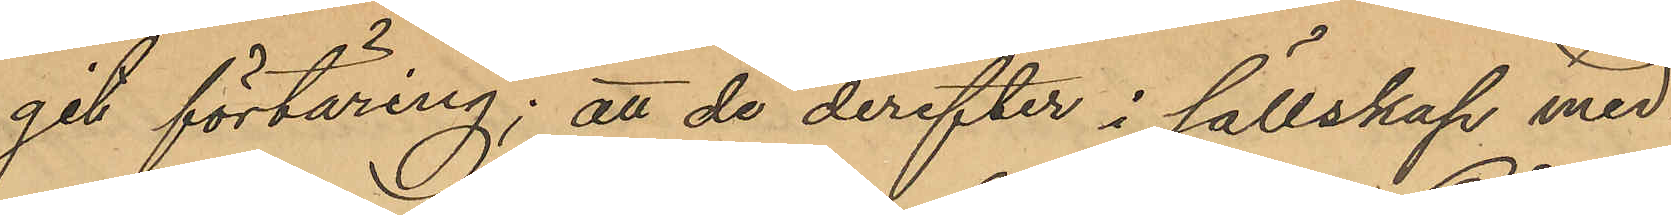git förtäring; att de derefter i sällskap med
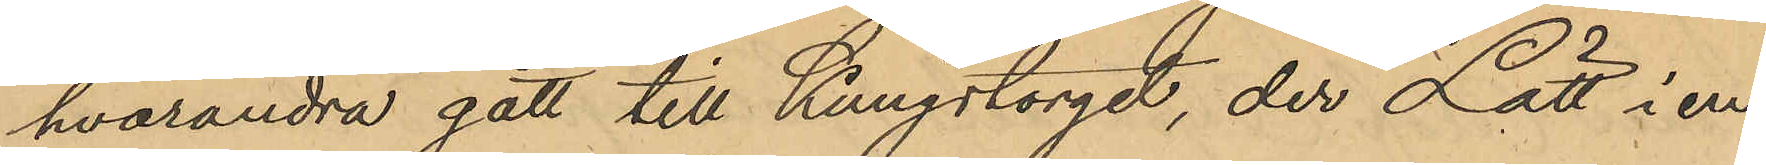hvarandra gått till Kungstorget, der Lätt i en
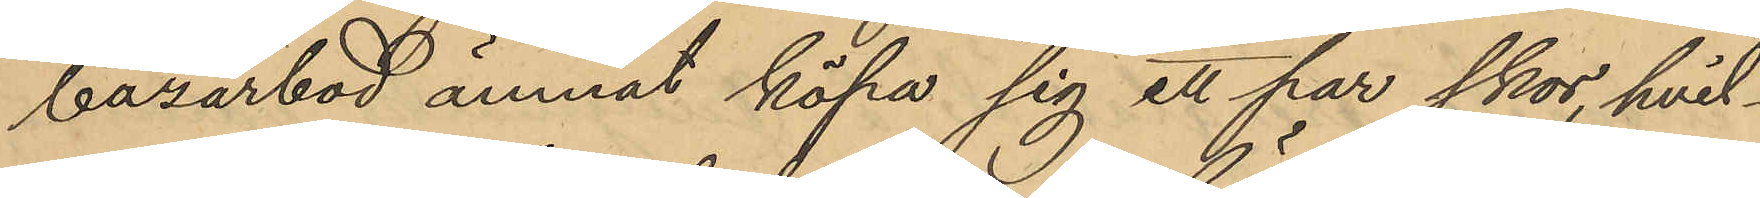bazarbod ämnat köpa sig ett par skor, hvil¬
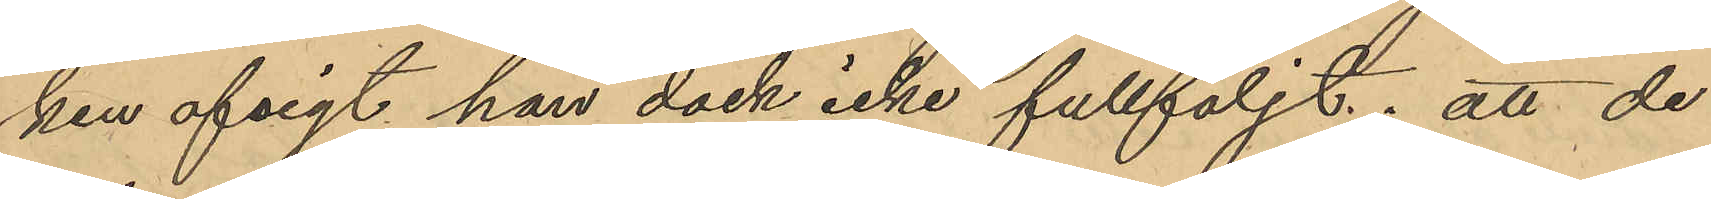ken afsigt han dock icke fullföljt; att de
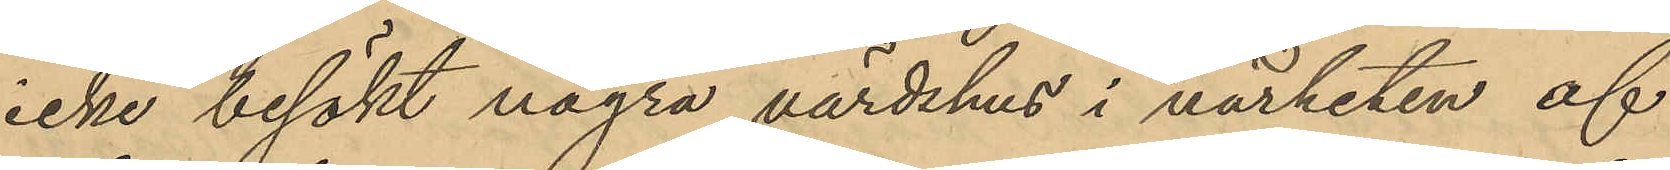icke besökt några värdshus i närheten af
